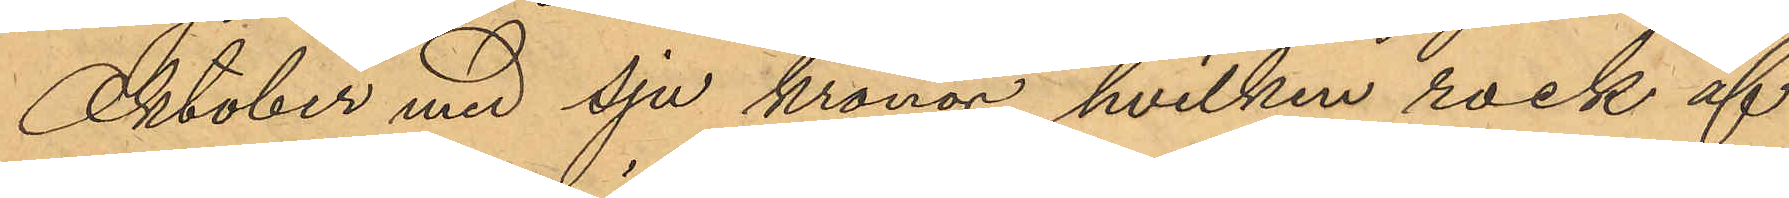Oktober med sju kronor, hvilken rock af
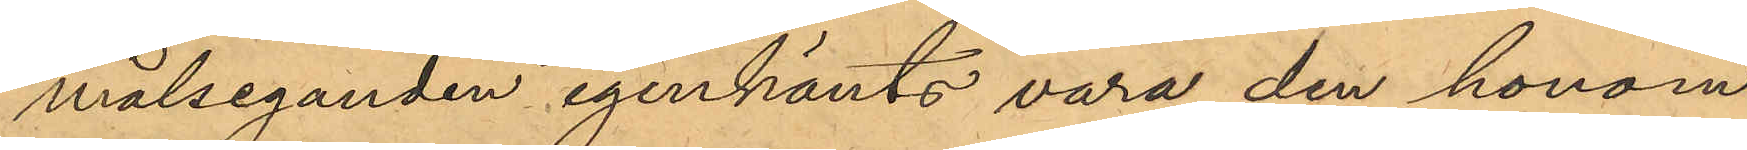målseganden igenkänts vara den honom
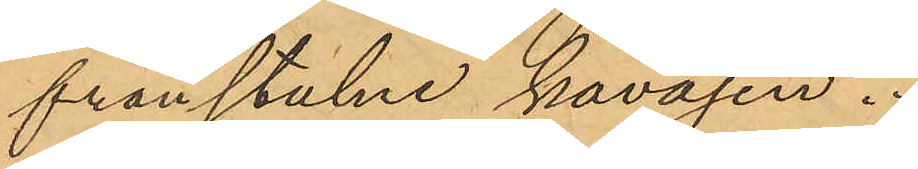frånstulne kavajen.
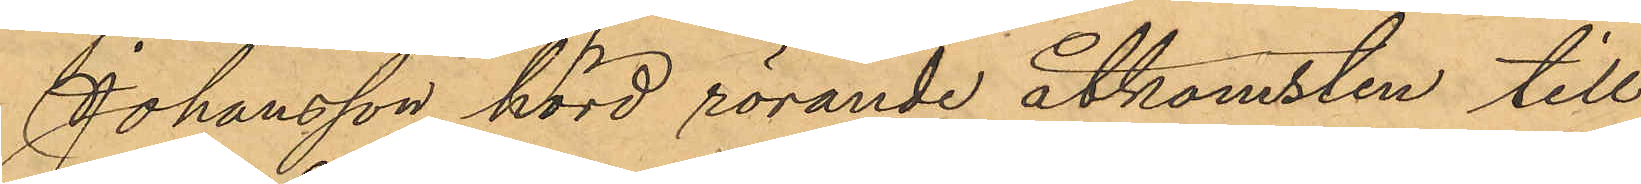Johansson hörd rörande åtkomsten till
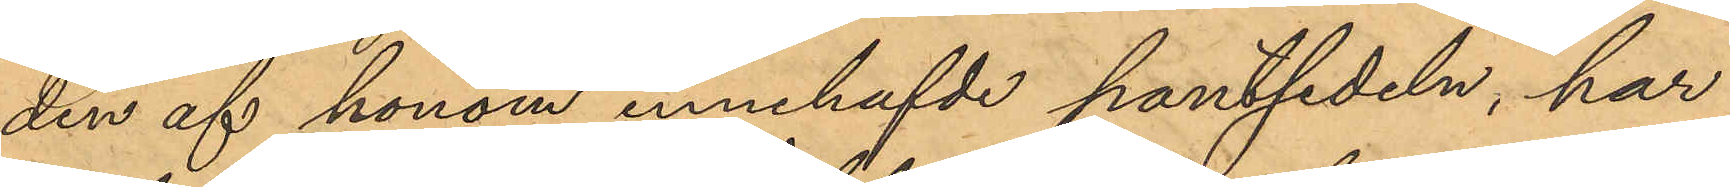den af honom innehafvde pantsedeln, har
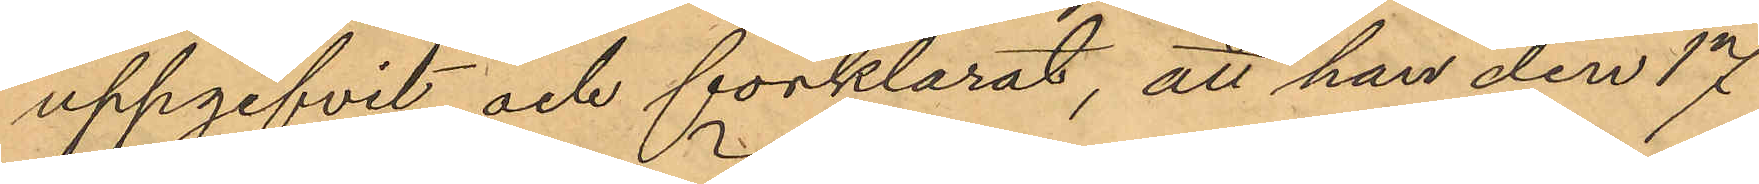uppgifvit och förklarat, att han den 17
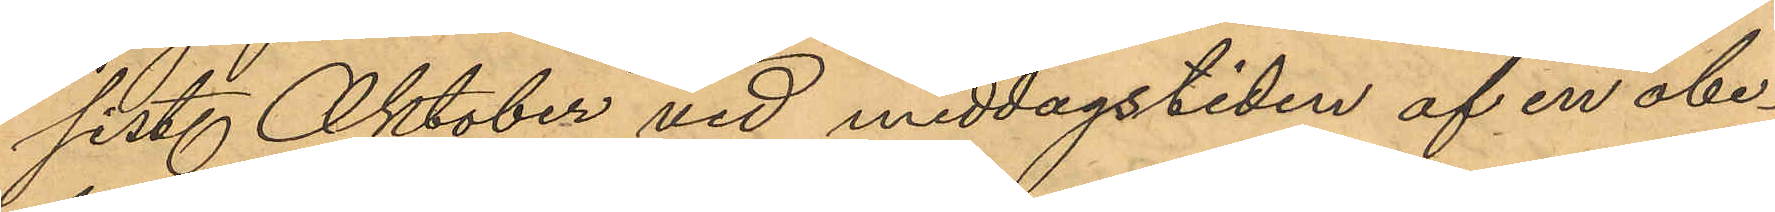sist. Oktober vid middagstiden af en obe¬
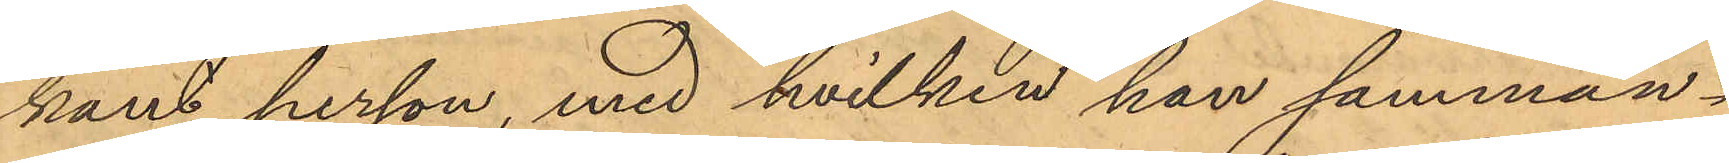kant person, med hvilken han samman¬
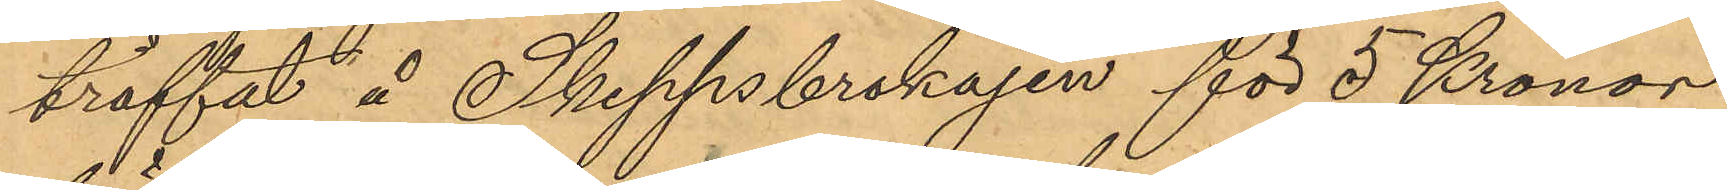träffat å Skeppsbrokajen för 5 Kronor
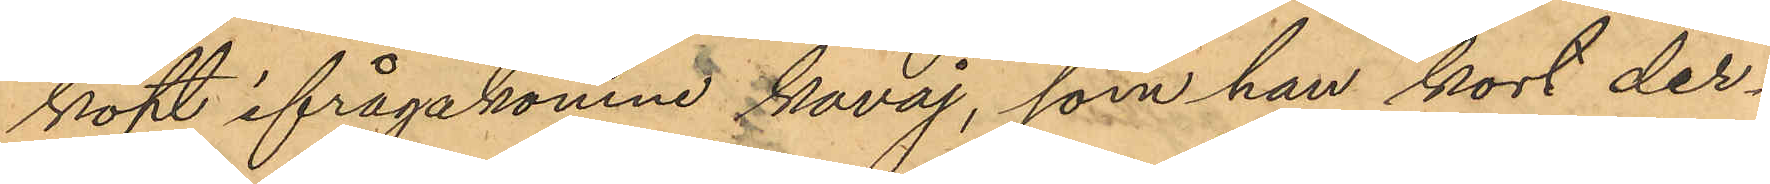köpt ifrågakomne kavaj, som han kort der¬
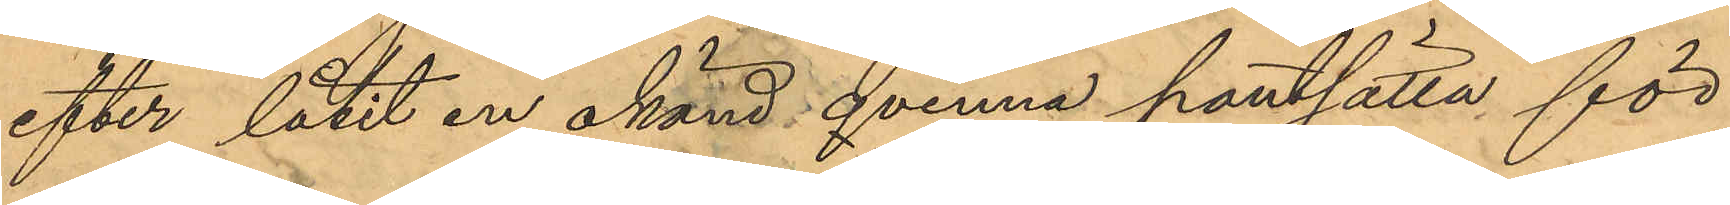efter låtit en okänd qvinna pantsätta för
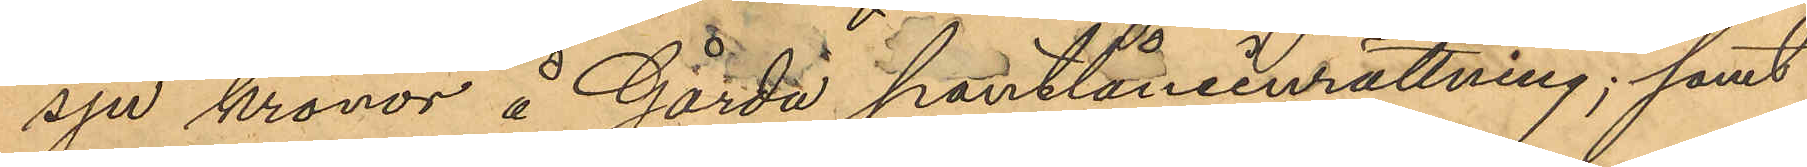sju kronor å Gårda pantlåneinrättning; samt
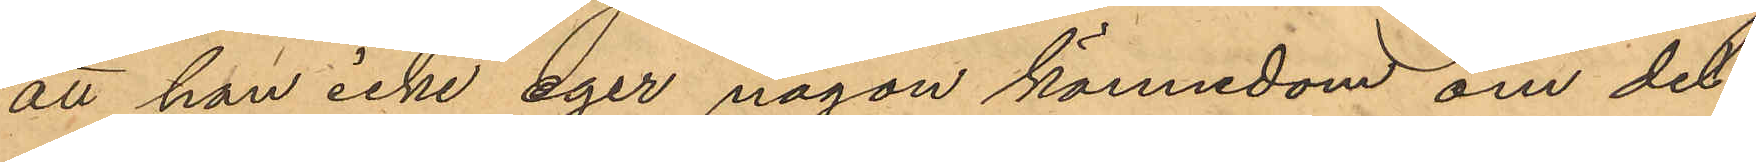att han icke eger någon kännedom om det
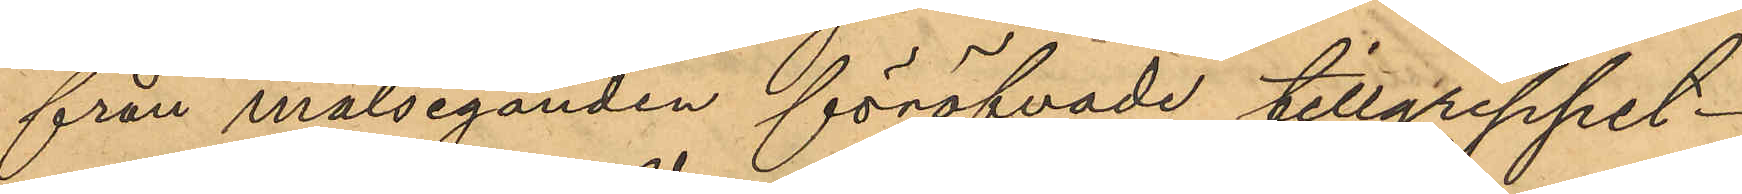från målseganden föröfvade tillgreppet.
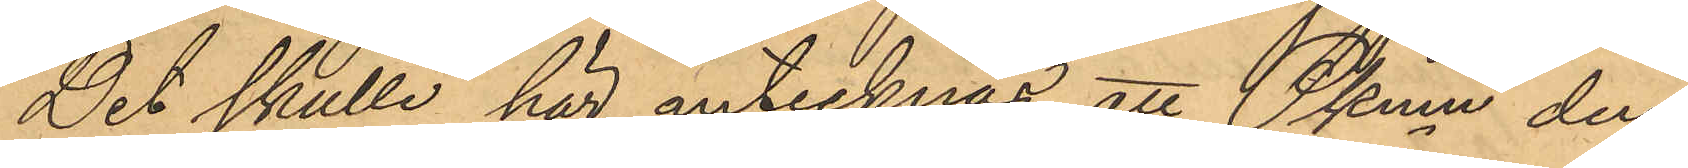Det skulle här antecknas att Pkmn den
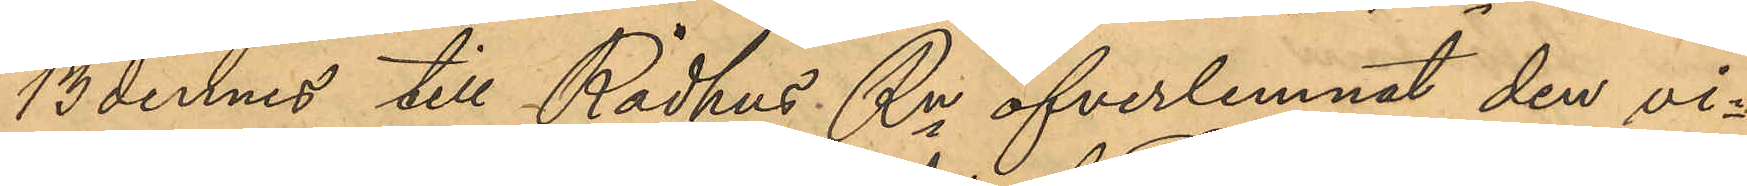13 dennes till Rådhus Rn öfverlemnat den vi¬
